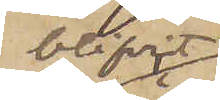blifvit
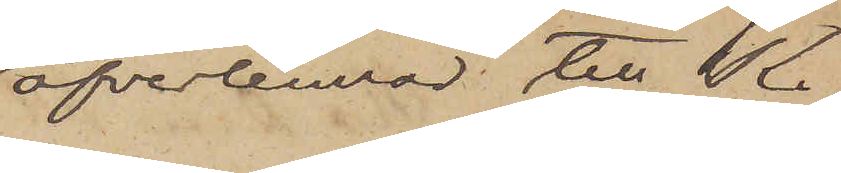öfverlemnad till K.
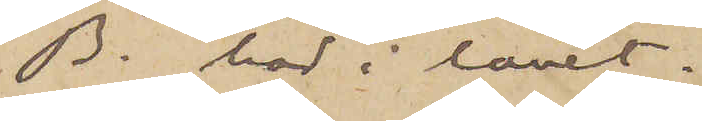B. här i länet.
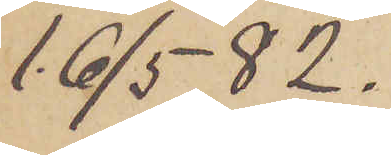16/5  82.
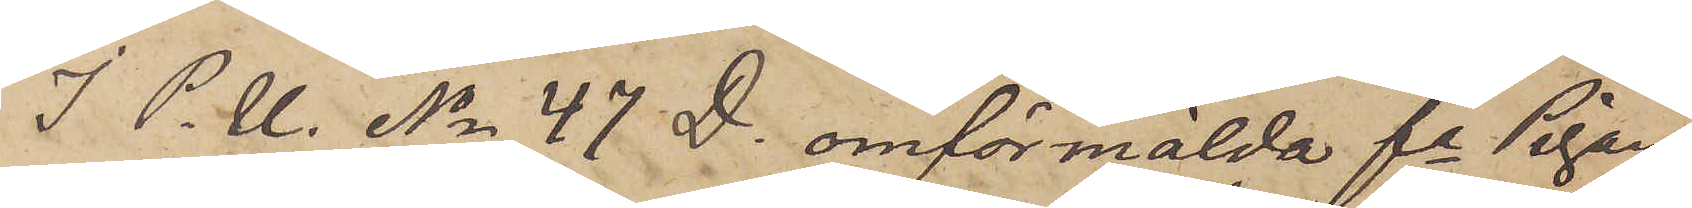I P. U. No 47 D. omförmälde fa Pigan
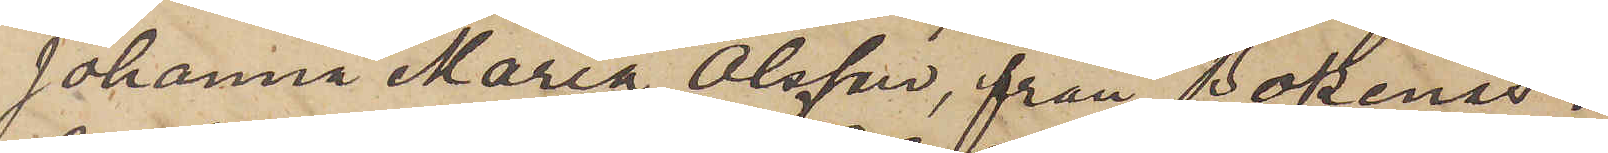Johanna Maria Olsson, från Bokenäs i
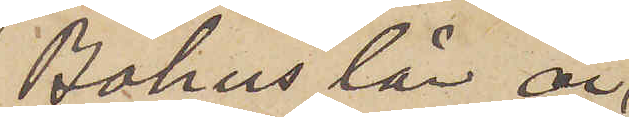Bohus län är
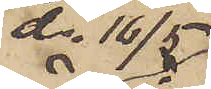d. 16/5
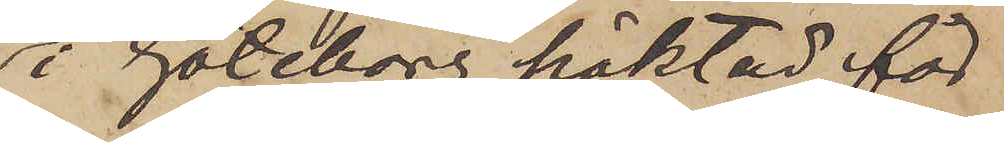i Göteborg häktad för
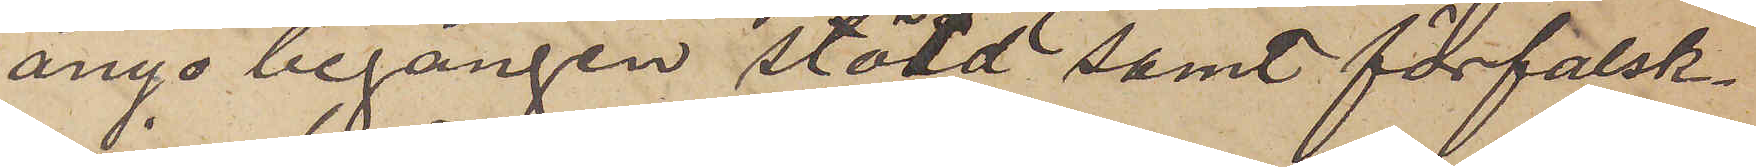ånyo begången stöld samt förfalsk¬
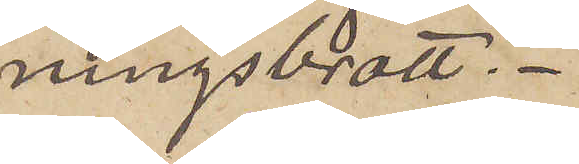ningsbrott.
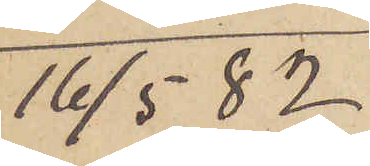16/5  82
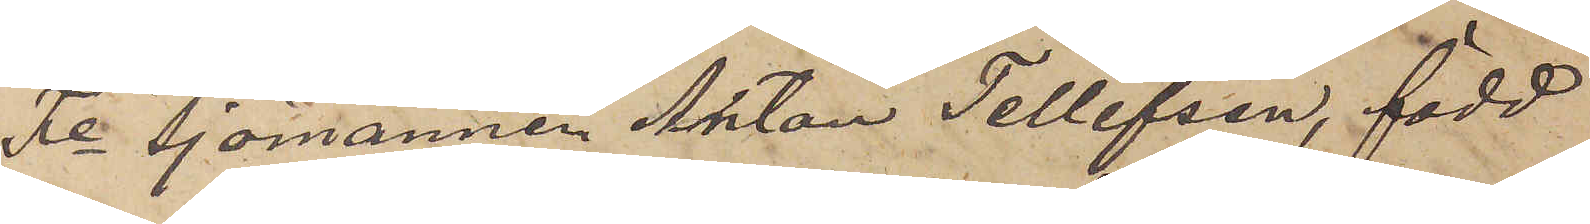Fe Sjömannen Anton Tellefsen, född
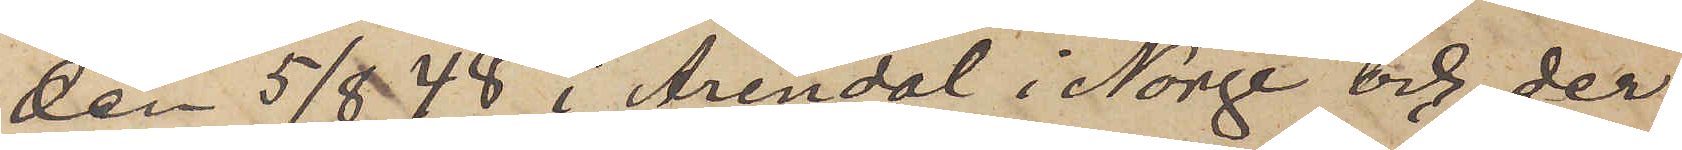den 5/8  48 i Arendal i Norge och der
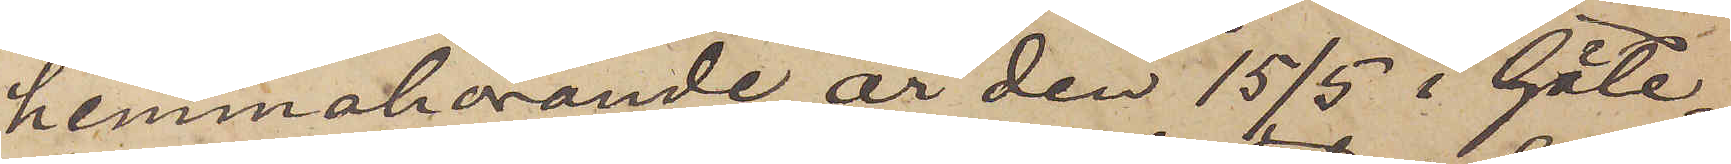hemmahörande är den 15/5 i Göte¬
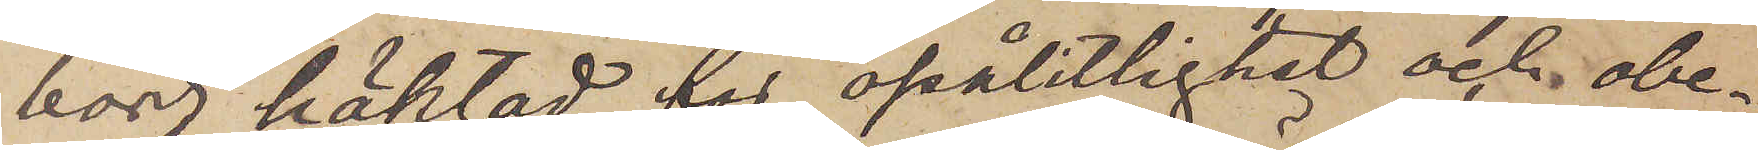borg häktad för opålitlighet och obe¬
